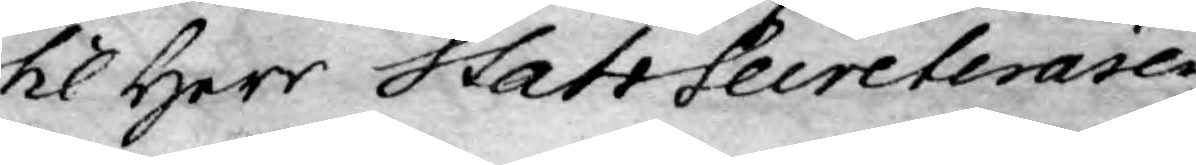til Herr StatsSecreteraren
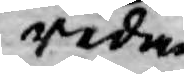redan
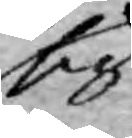sig
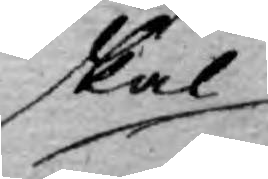skal
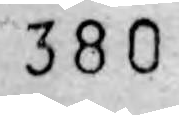380
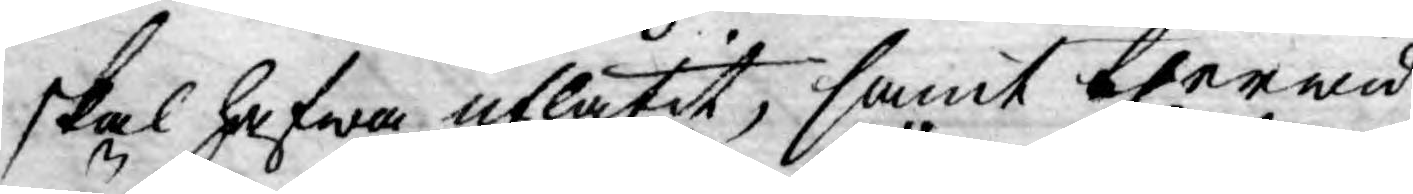skal hafwa utlåtit, samt therwid
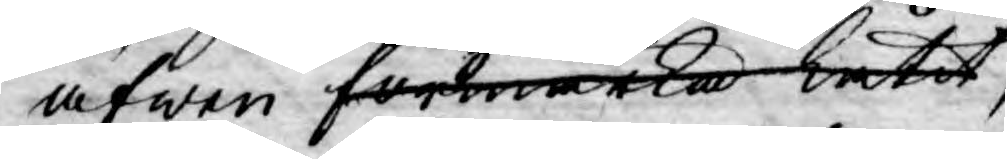äfwen förmärka låtit
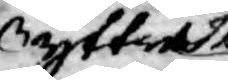yttrat
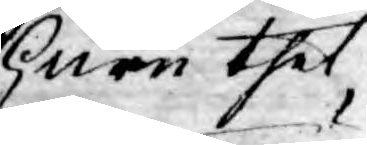huru thet
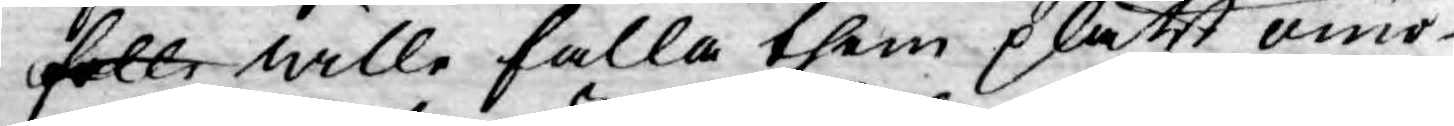falle wille falla them platt omö¬
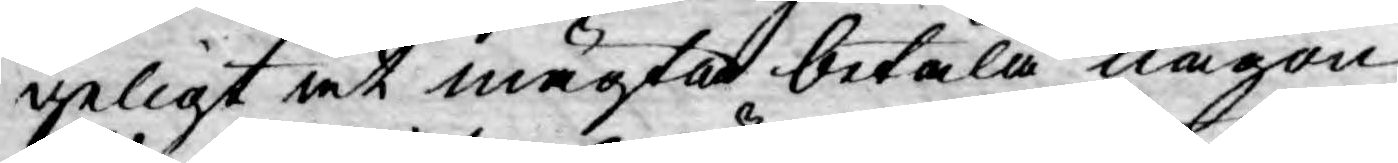geligt at mägta betala någon
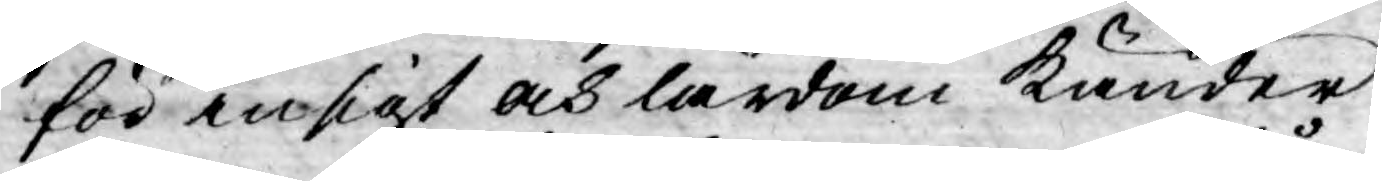för insigt och lärdom känder
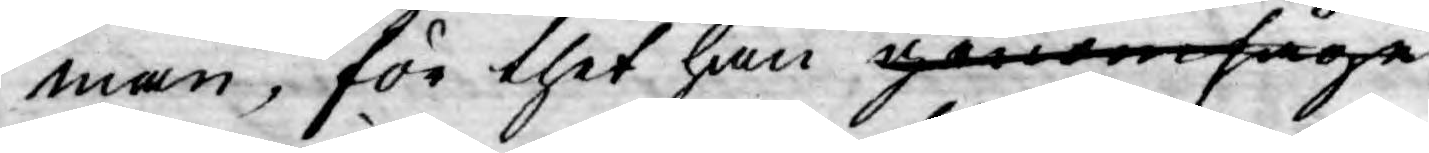man, för thet han genomsåge
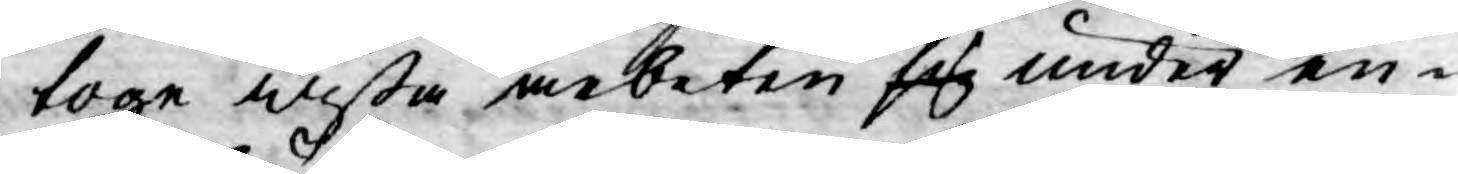toge wißa arbeten sig under en-
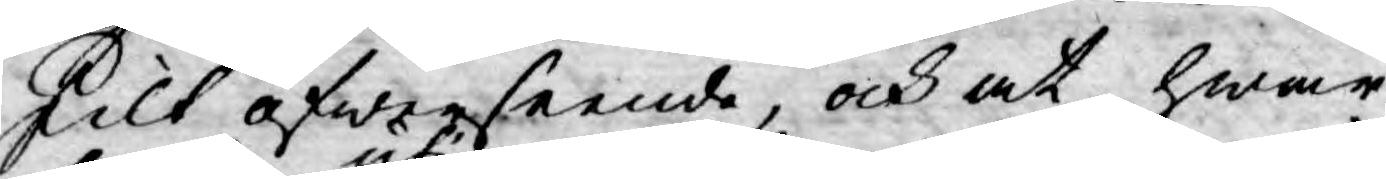skilt öfwerseende, och at hwar
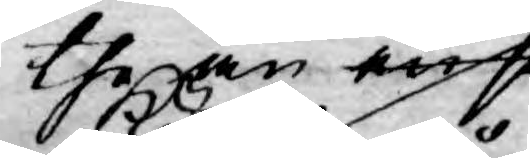the än anse
